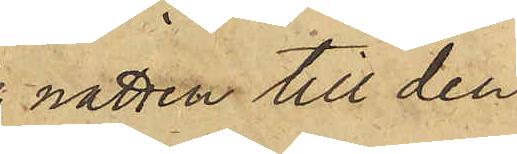natten till den
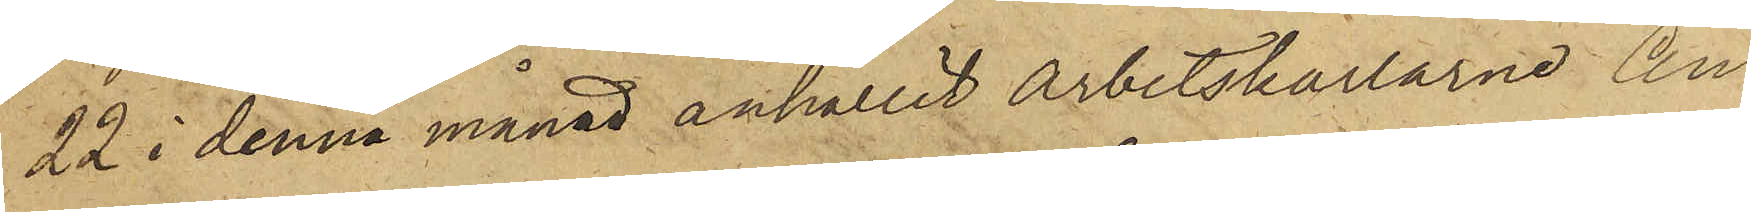22 i denna månad anhållit arbetskarlarne An¬
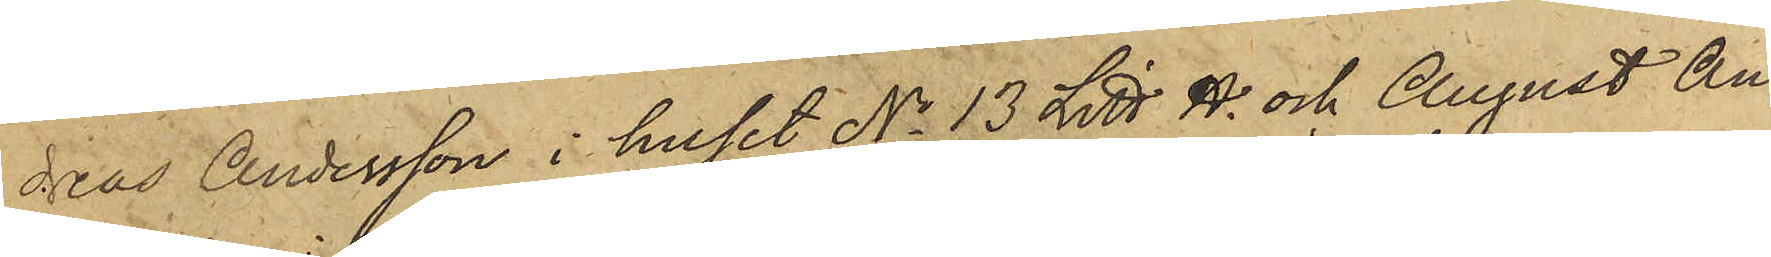dreas Andersson i huset No 13 Litt H. och August An¬
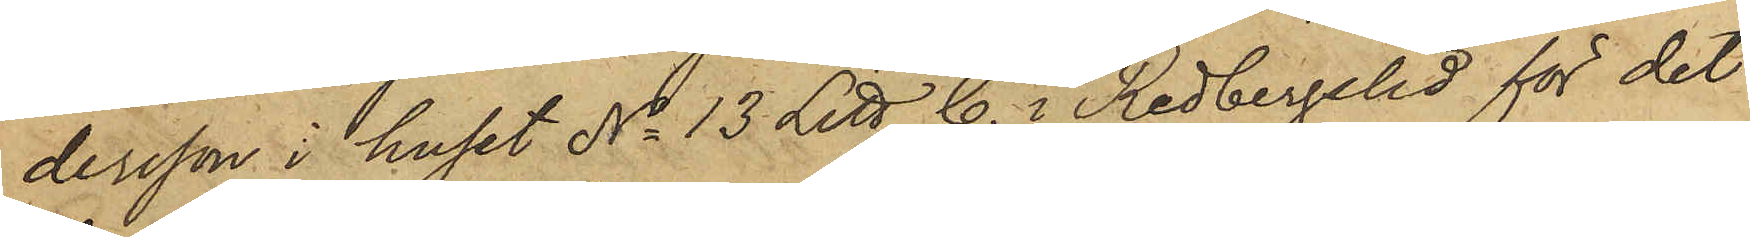dersson i huset No 13 Litt C. i Redbergslid för det
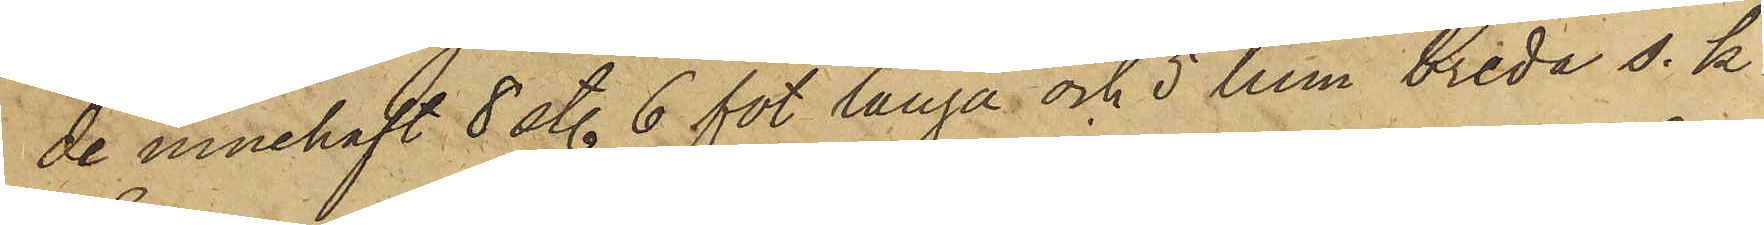de innehaft 8 sty. 6 fot långa och 5 tum breda s. k.
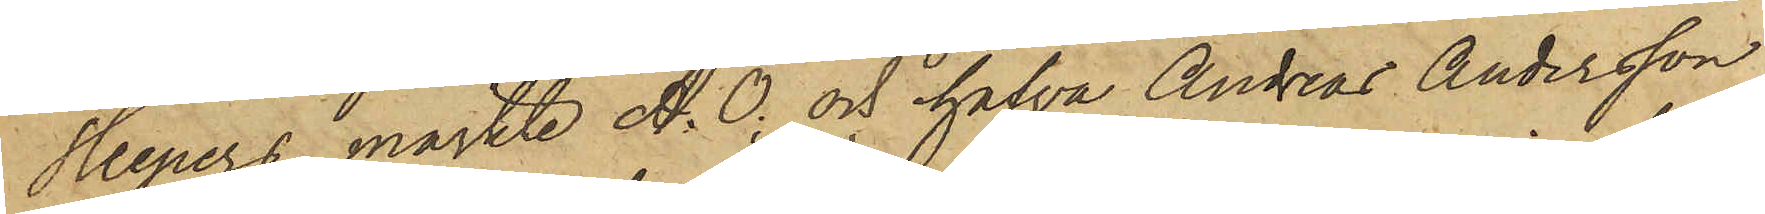Sleepers, märkte A. O; och hafva Andreas Andersson
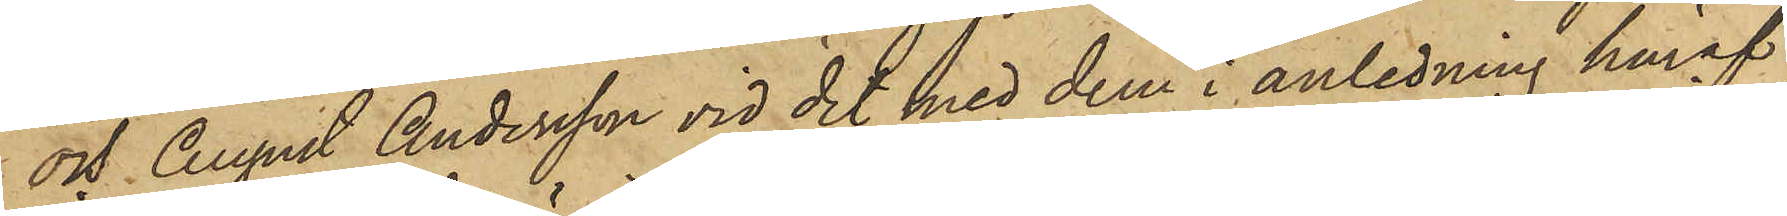och August Andersson vid det med dem i anledning häraf
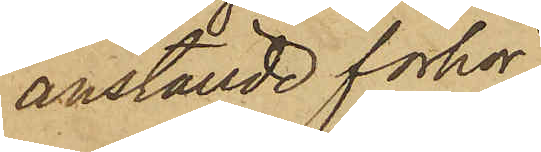anställde förhör
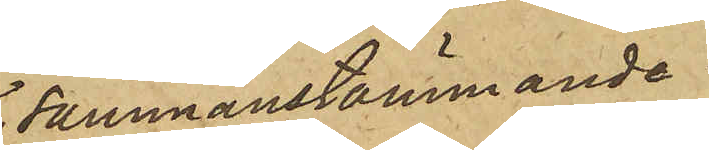sammanstämmande
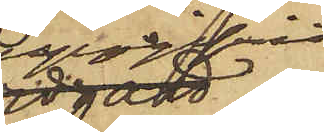uppgifvit
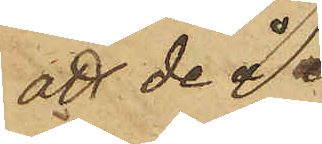att de å
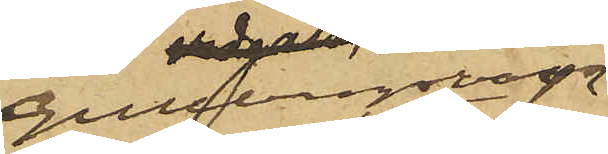Gullbergsvass
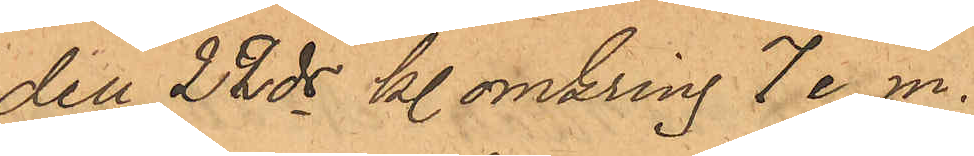den 22 ds kl. omkring 7 e. m.
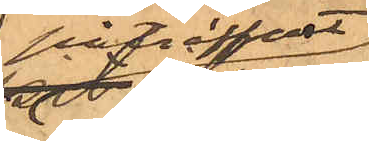påträffat 
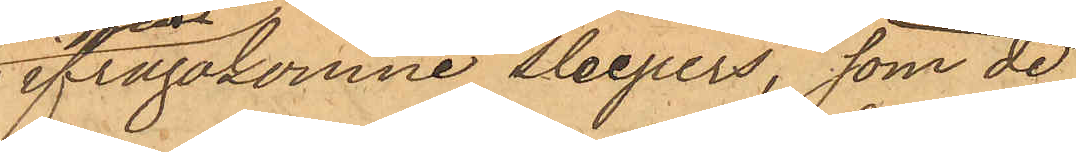ifrågakomne sleepers, som de
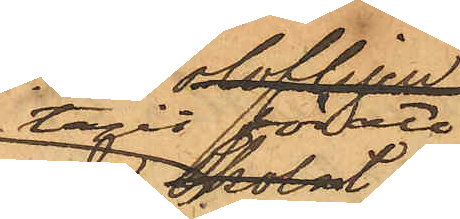tagit
